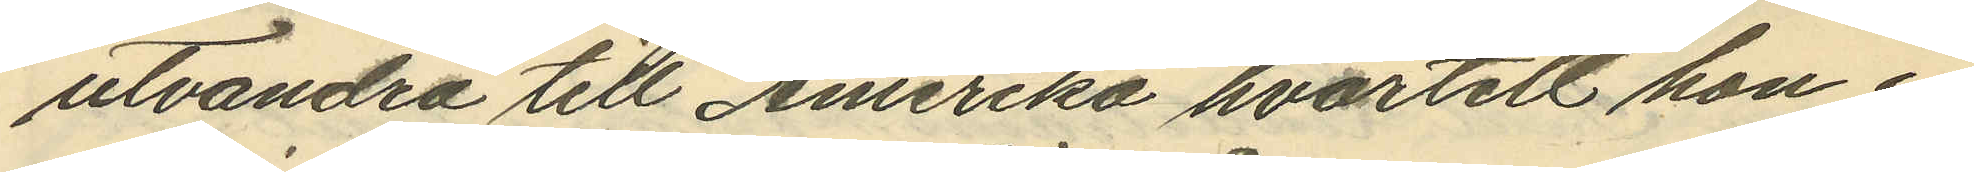utvandra till Amerika hvartill hon i
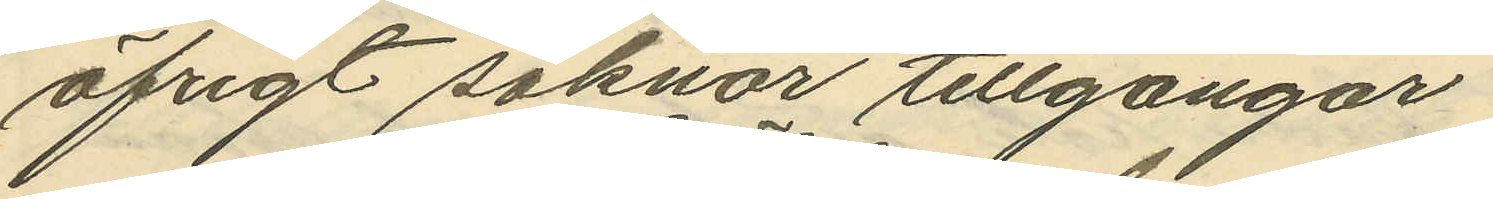öfrigt saknar tillgångar.
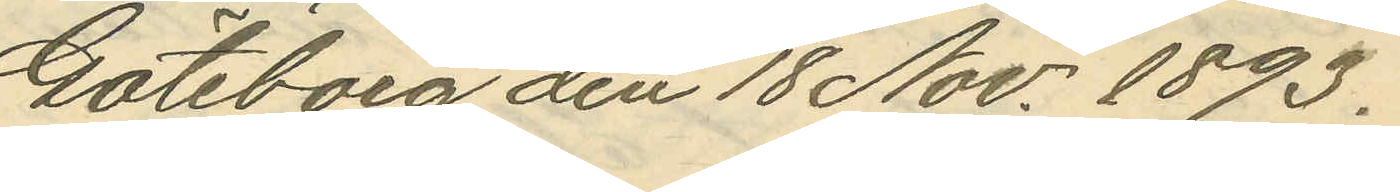Göteborg den 18 Nov. 1893.
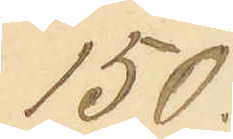150.
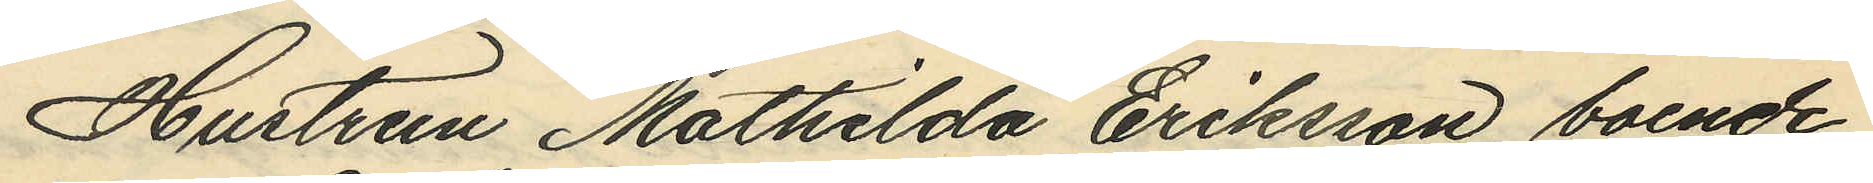Hustrun Mathilda Eriksson, boende
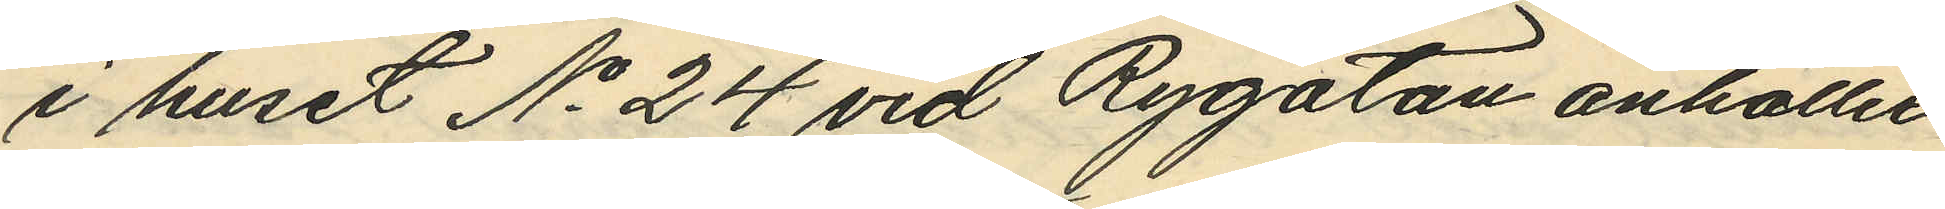i huset No 24 vid Rygatan anhåller
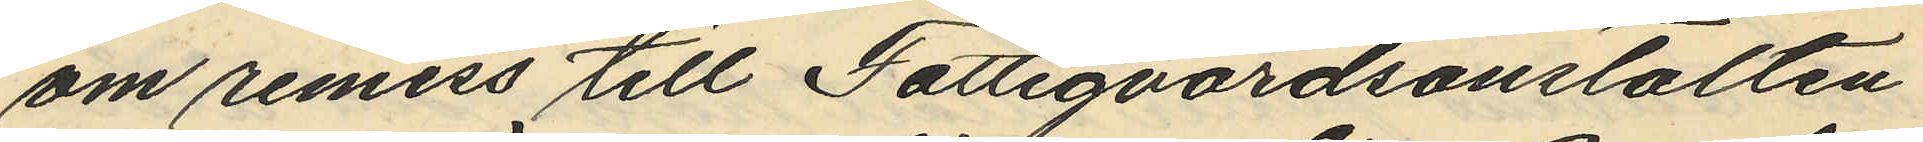om remiss till Fattigvårdsanstalten
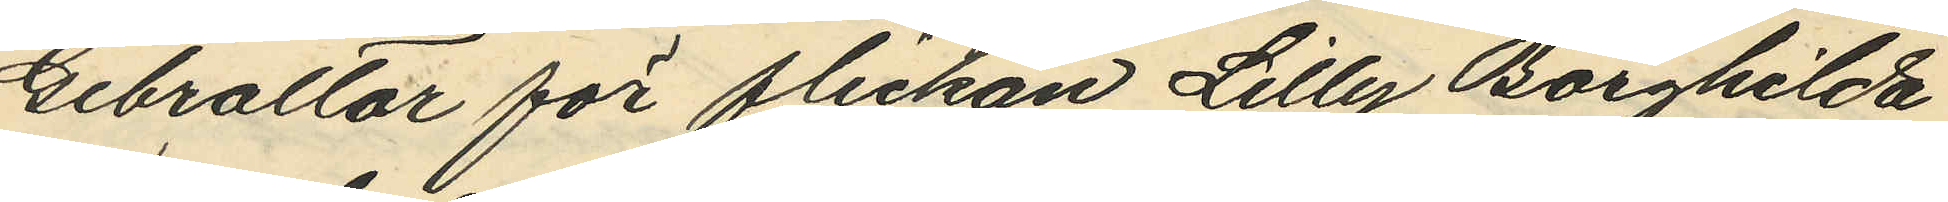Gibralltar för flickan Lilly Borghilda
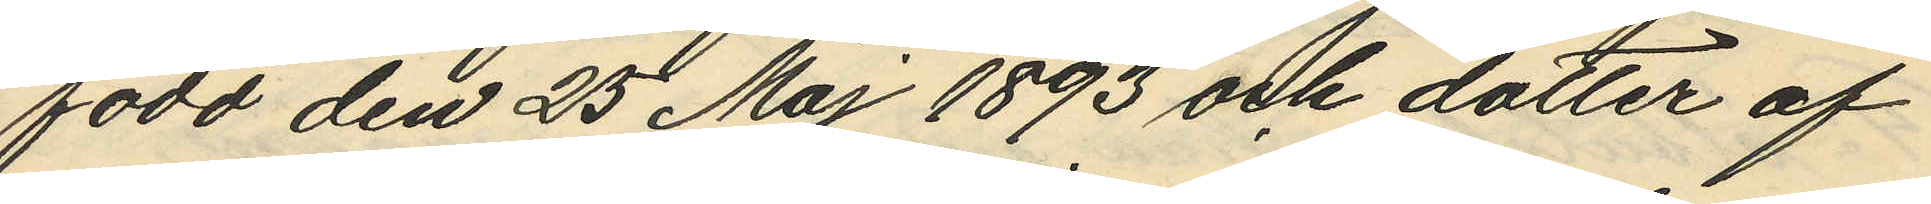född den 25 Maj 1893 och dotter af
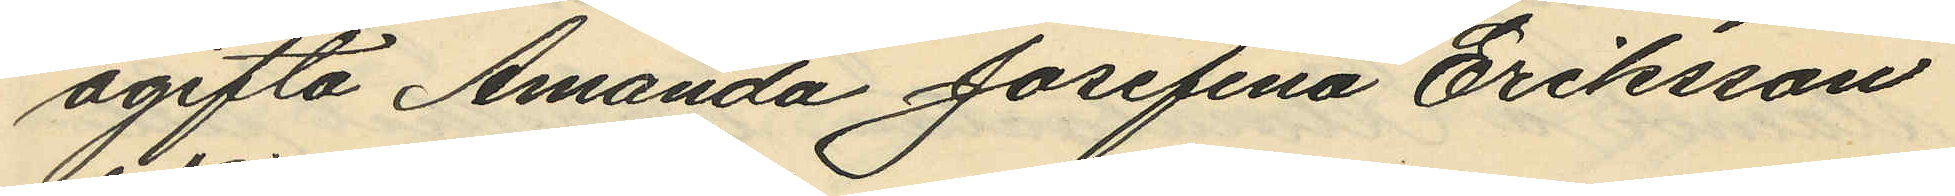ogifta Amanda Josefina Eriksson
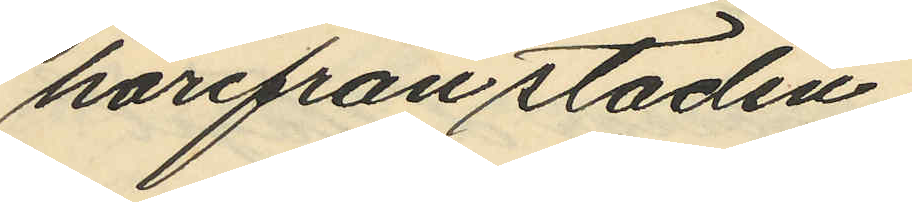härifrån staden.
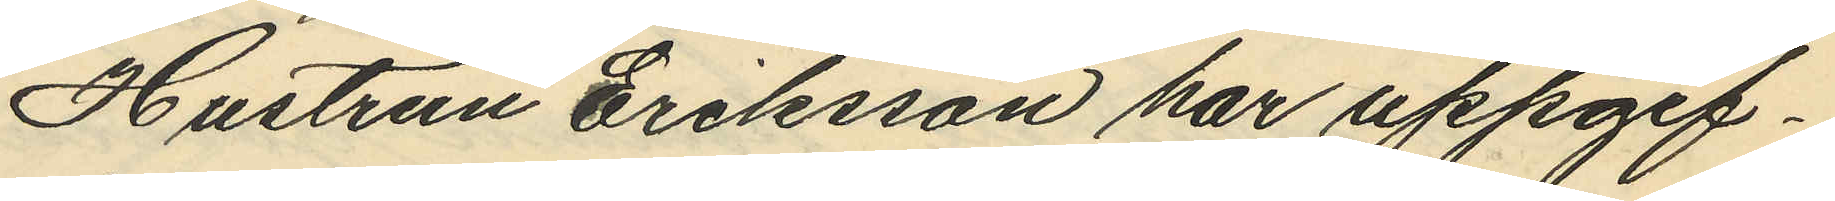Hustrun Eriksson har uppgif¬
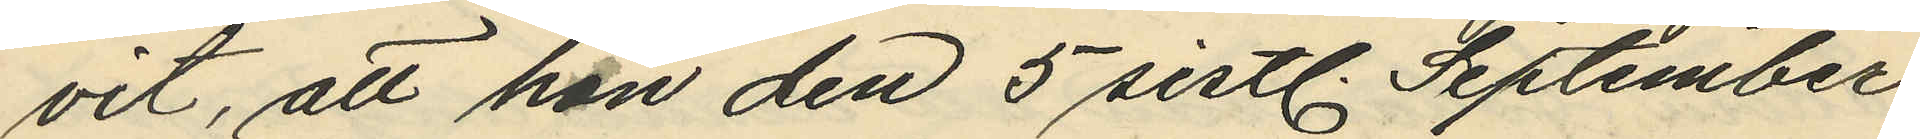vit, att hon den 5 sistl. September
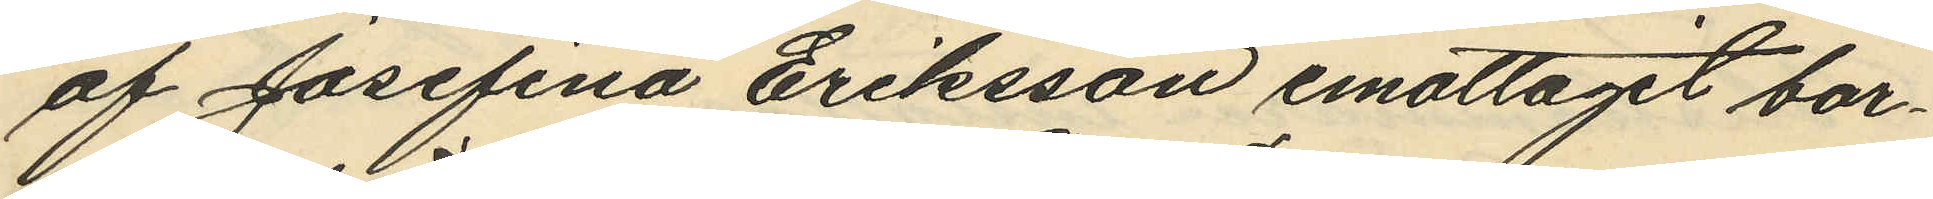af Josefina Eriksson emottagit bar¬
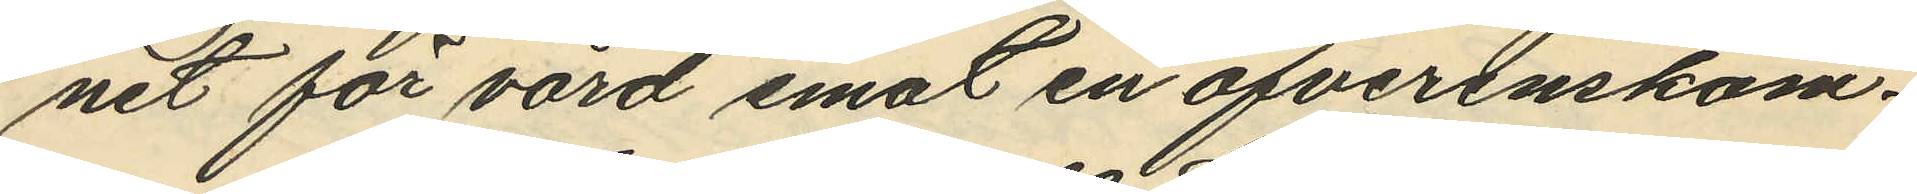net för vård emot en öfverenskom¬
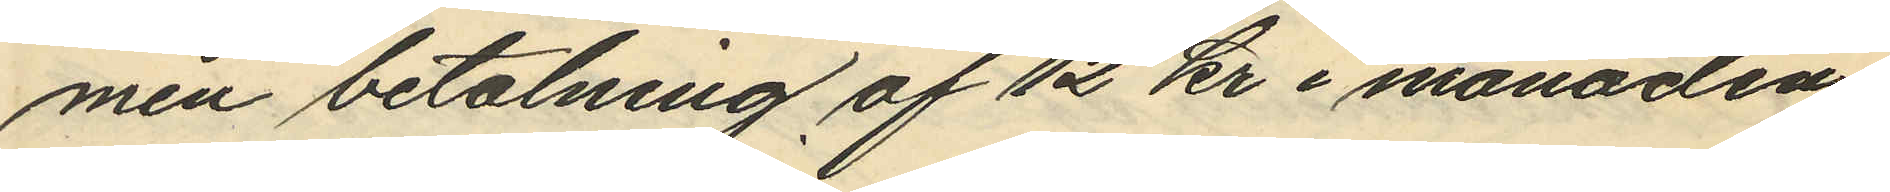men betalning af 12 kr i månaden,
